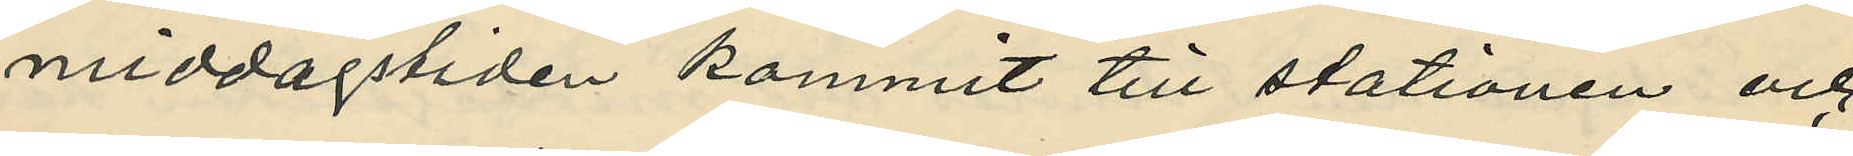middagstiden kommit till stationen och
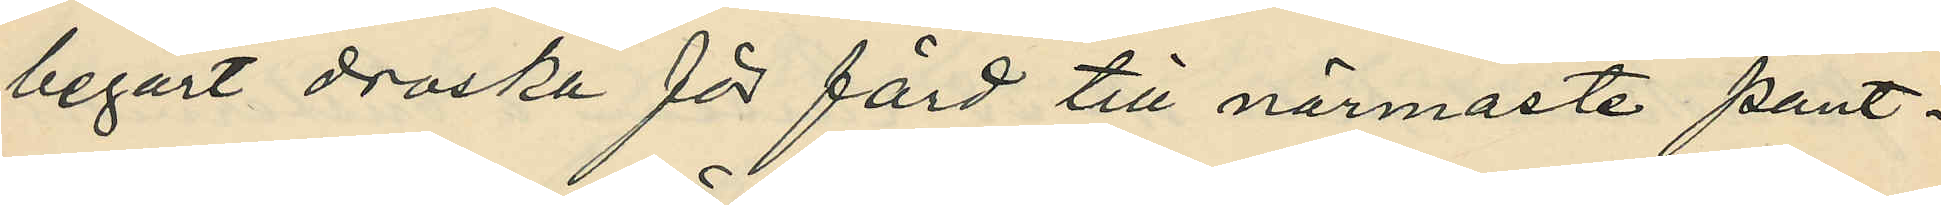begärt droska för färd till närmaste pant¬
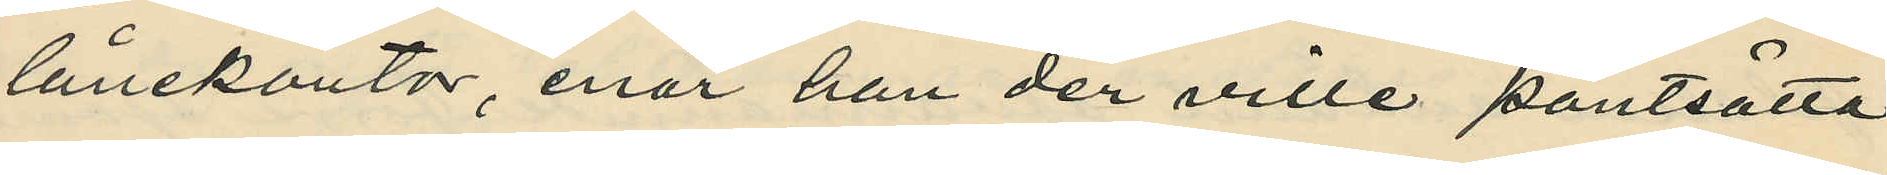lånekontor, enär han der ville pantsätta 
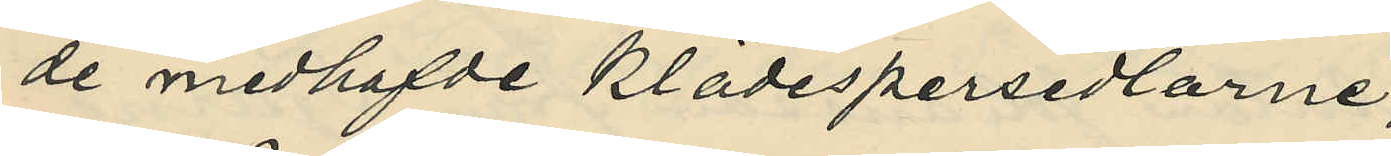de medhafde klädespersedlarne;
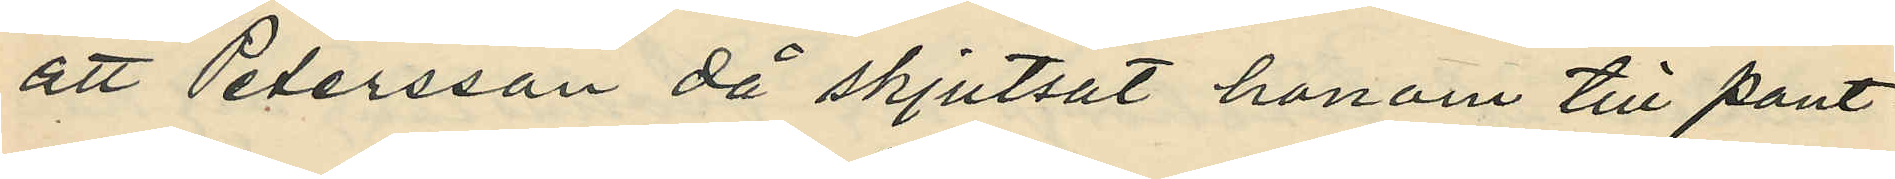att Pettersson då skjutsat honom till pant¬
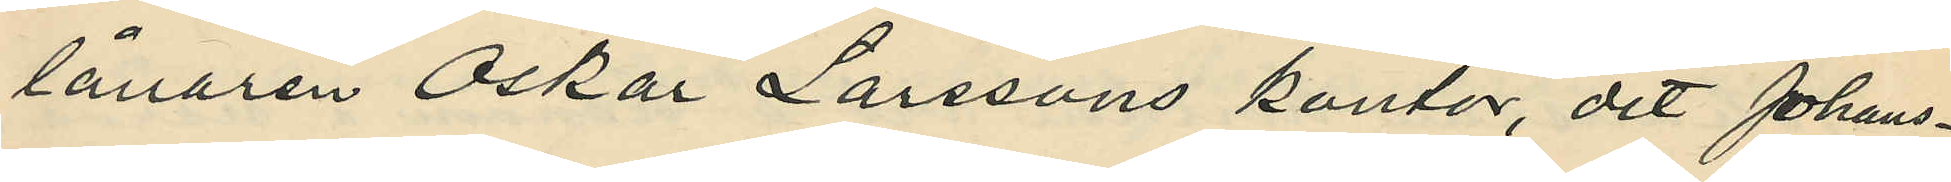lånaren Oskar Larssons kontor, dit Johans¬
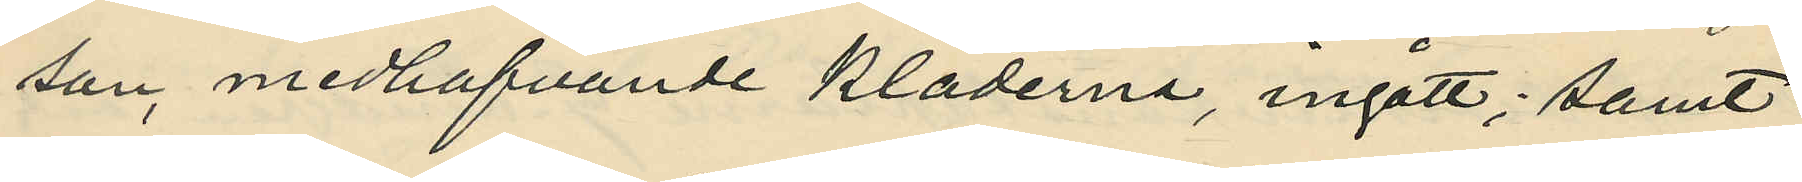son, medhafvande kläderna, ingått; samt
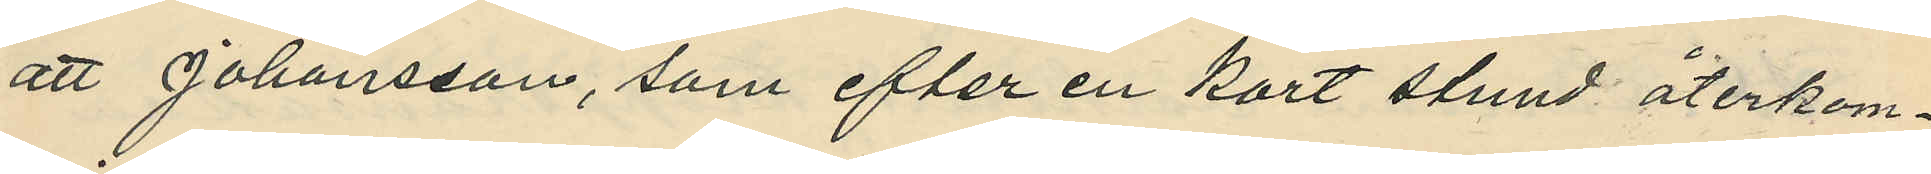att Johansson, som efter en kort stund återkom¬
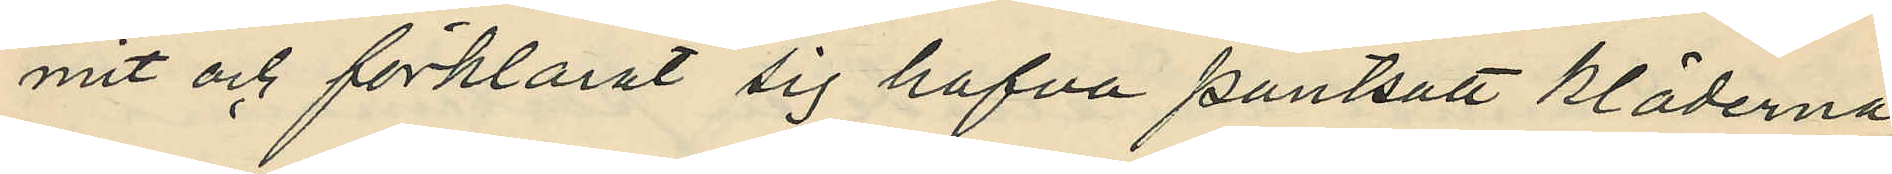mit och förklarat sig hafva pantsatt kläderna,
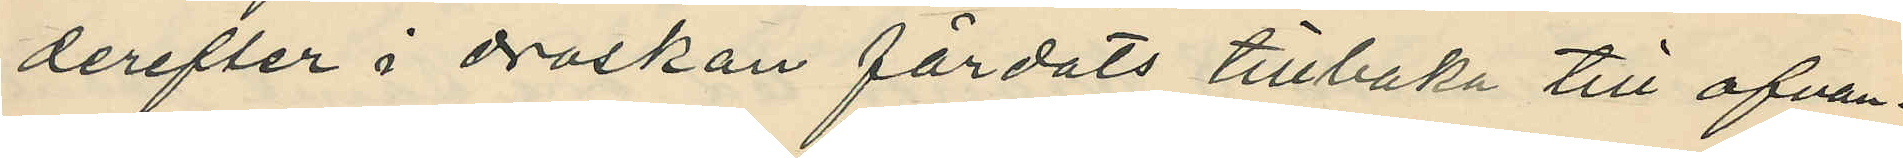derefter i droskan färdats tillbaka till ofvan¬
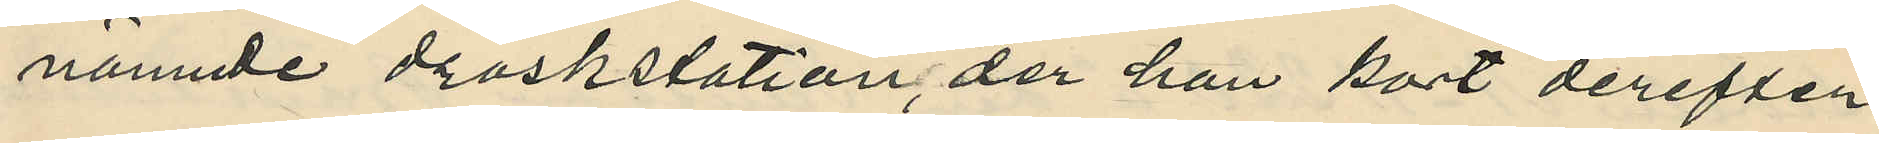nämnde droskstation, der han kort derefter 
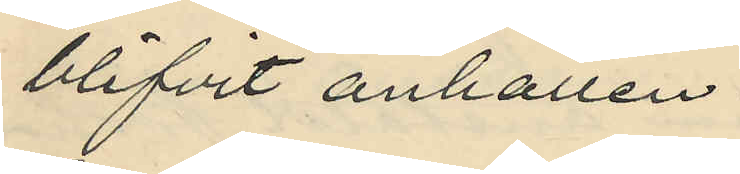blivit anhållen.
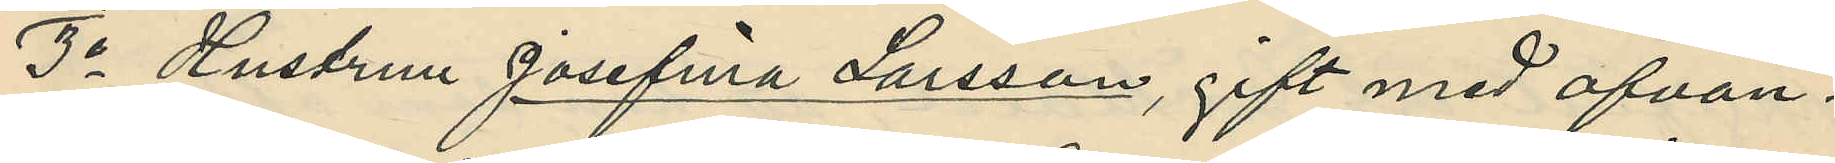3o Hustrun Josefina Larsson, gift med ofvan¬
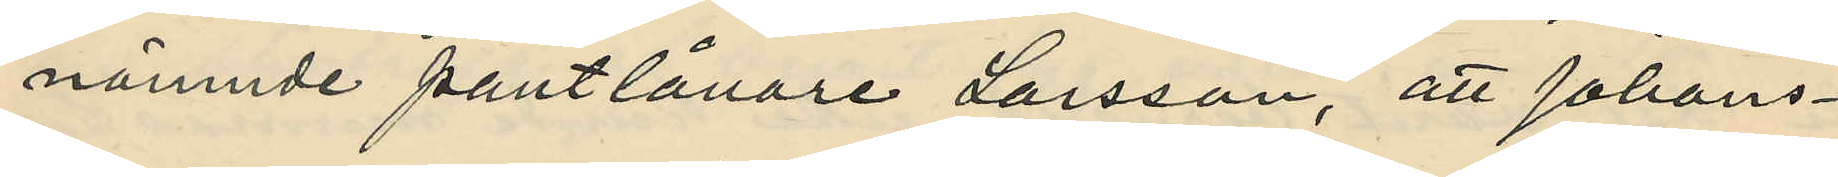nämnde pantlånare Larsson, att Johans¬
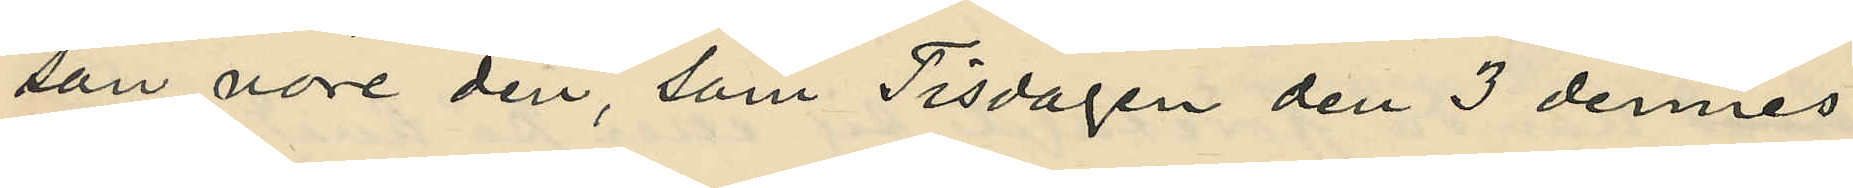son vore den, som Tisdagen den 3 dennes
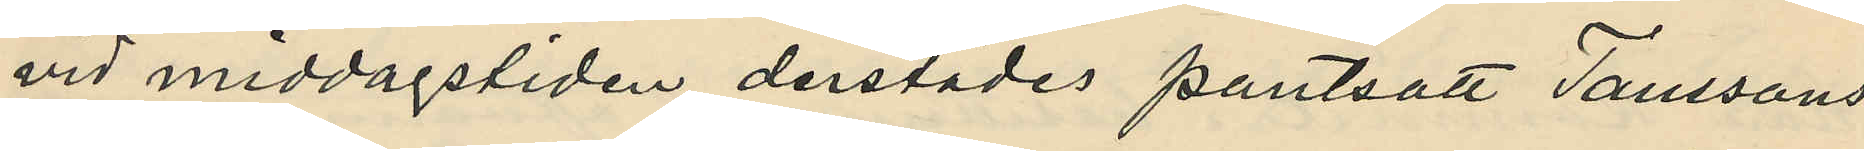vid middagstiden derstädes pantsatt Taussons
